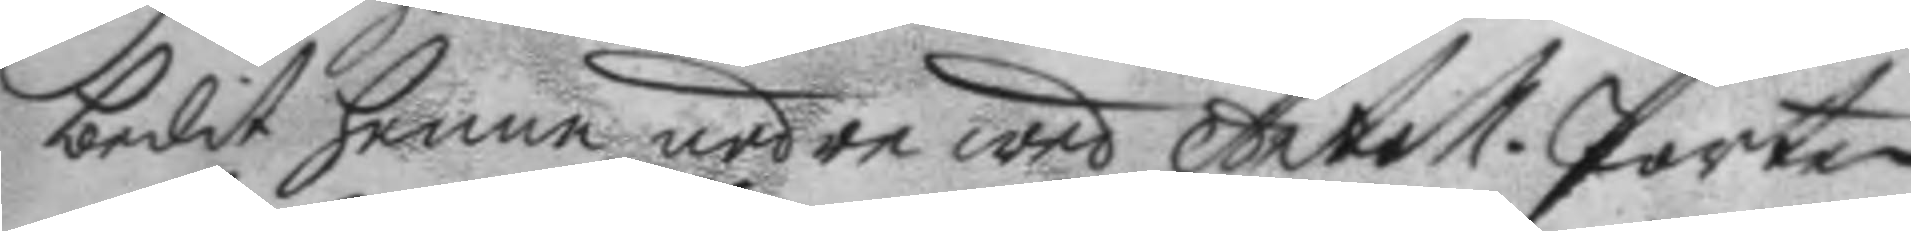bedit henne neder wed Artoll.Porten
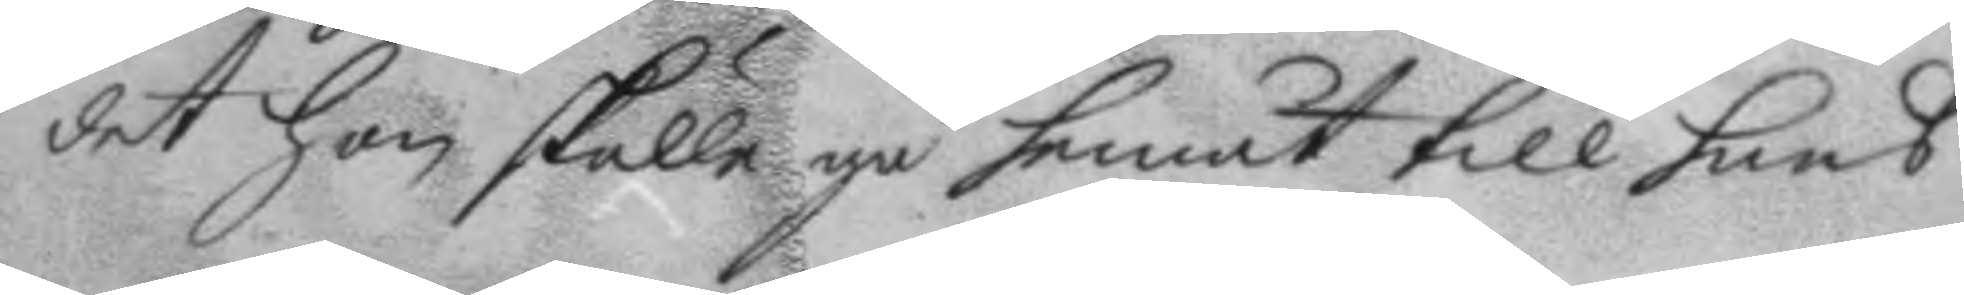det hon skulle gå hemåt till hans
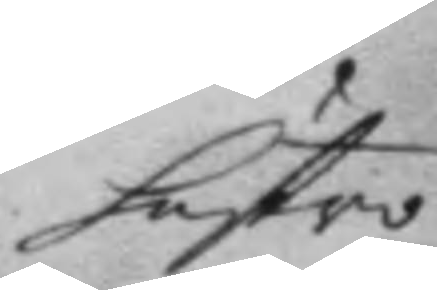hustro
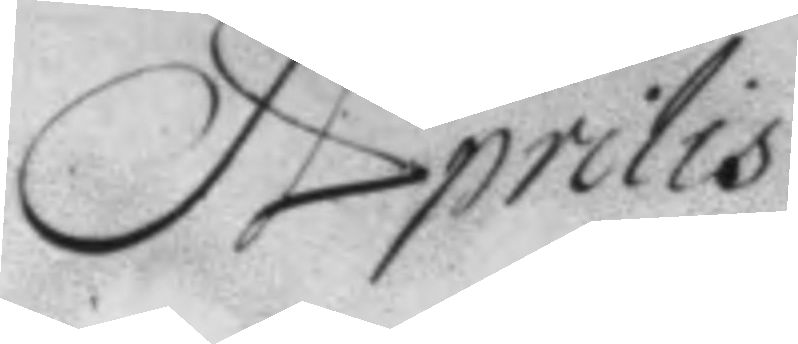Aprilis
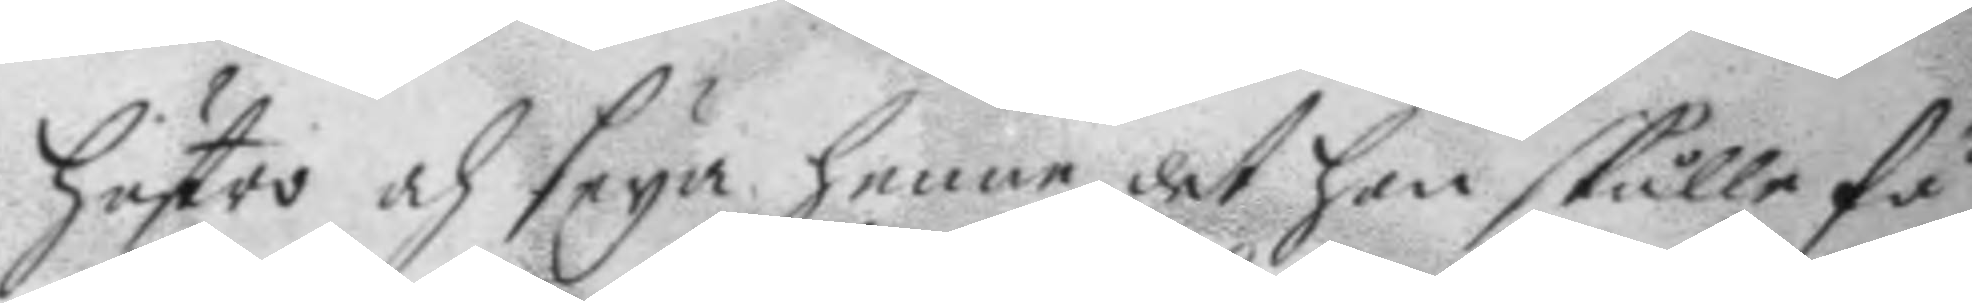hustro och seya henne det hon skulle få
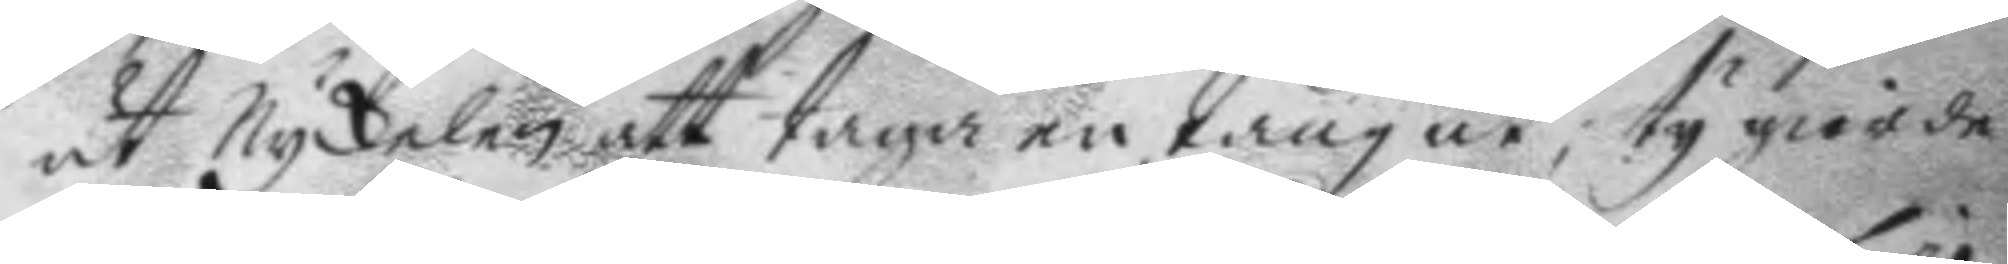ut Nyckelen att taga en tång ut; ty giorde
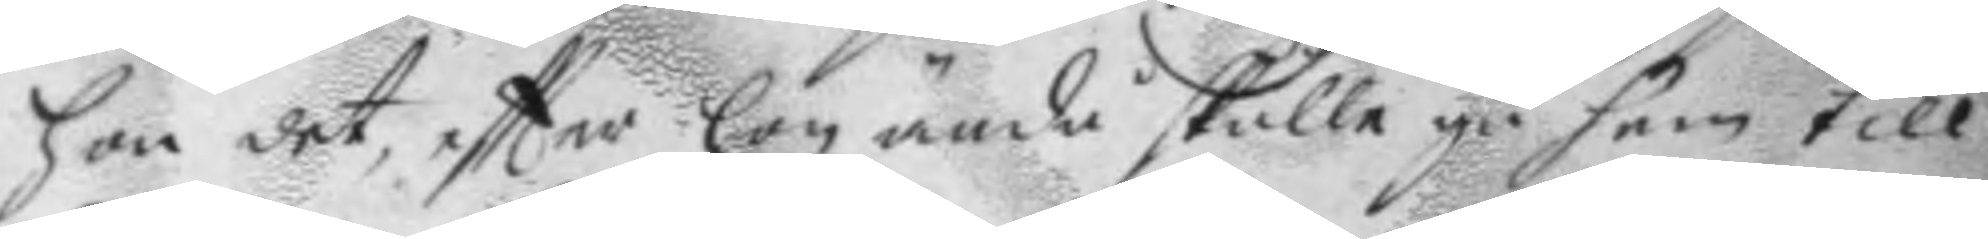hon det, eftter hon ändå skulle gå hem till
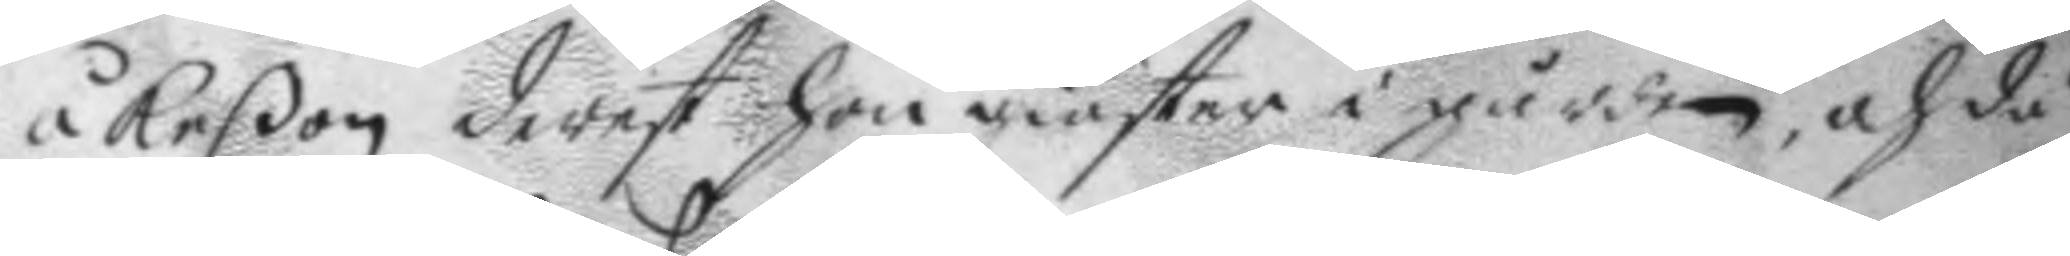åkeßon derest hon giästar i gården, och då
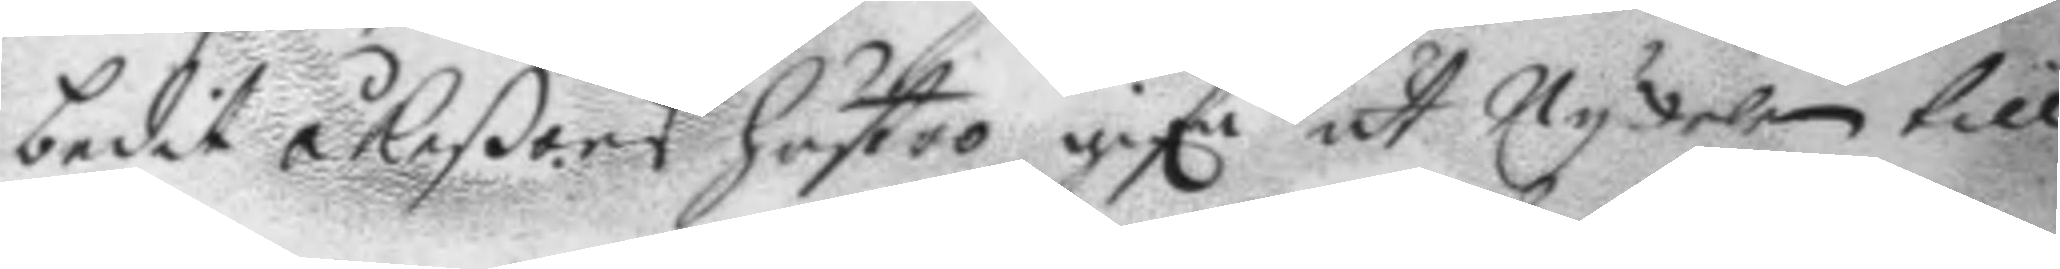bedit åkeßons hustro gife ut Nykelen till
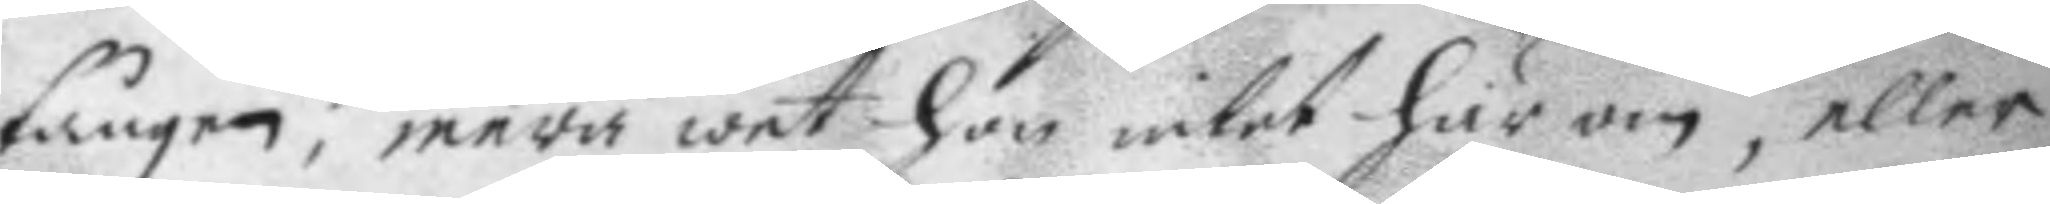tången; mera wet hon intet här om, eller
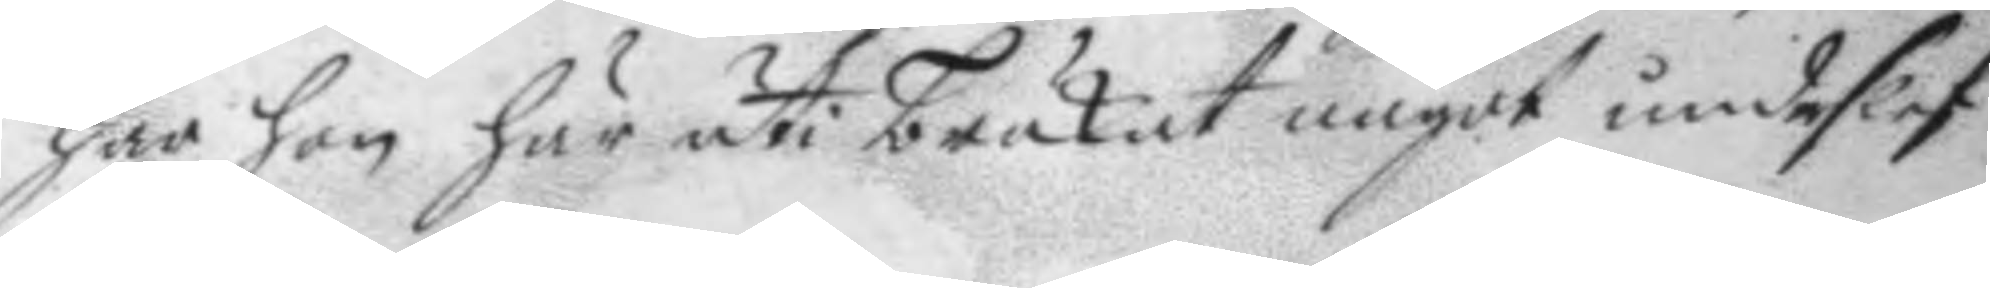har hon här uti brukat något undeslef
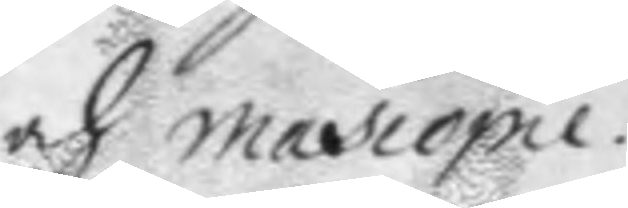och mascopie.
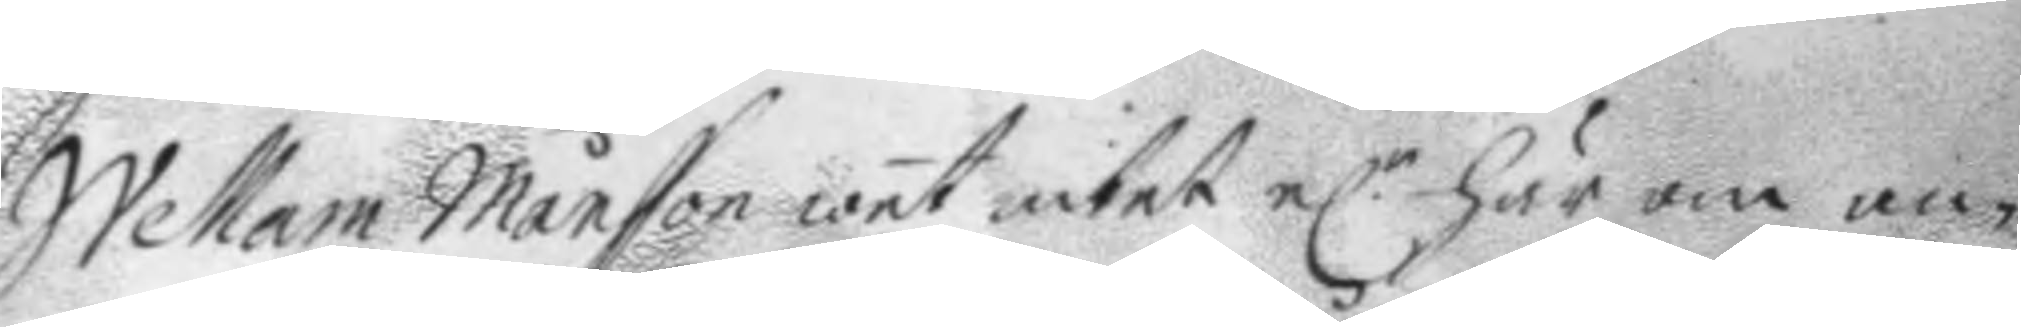Wellam Månsson wet intet el.r här om an¬
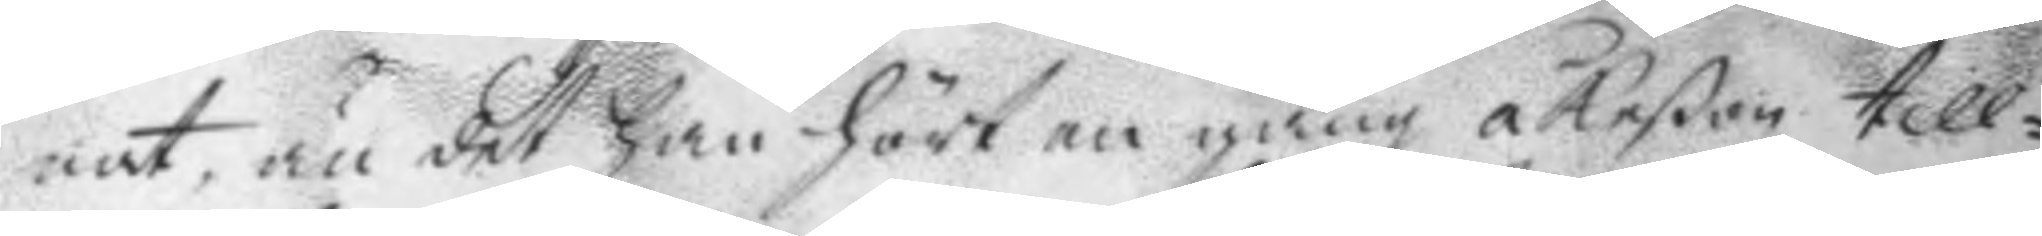nat, än det han hört en gång åkeßon till¬
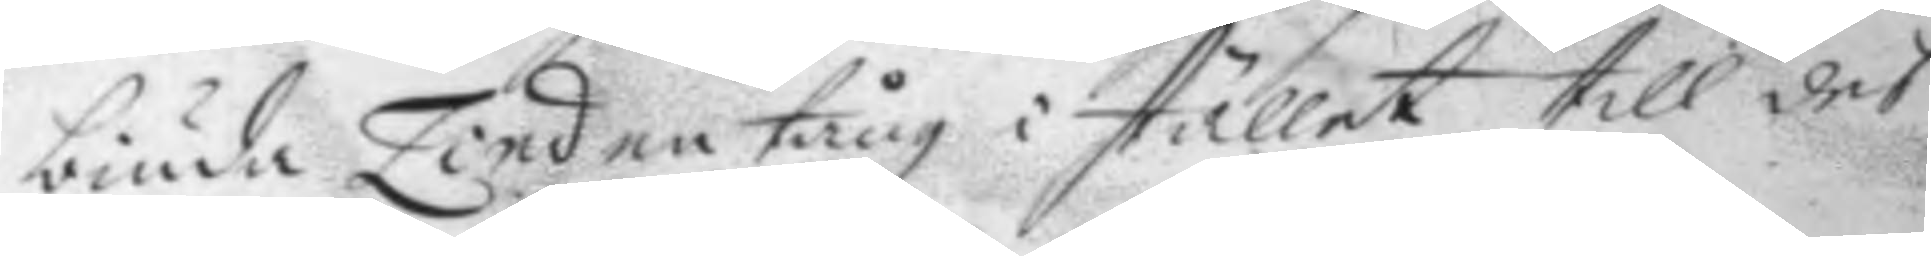biuda Lind en tång i stället till des
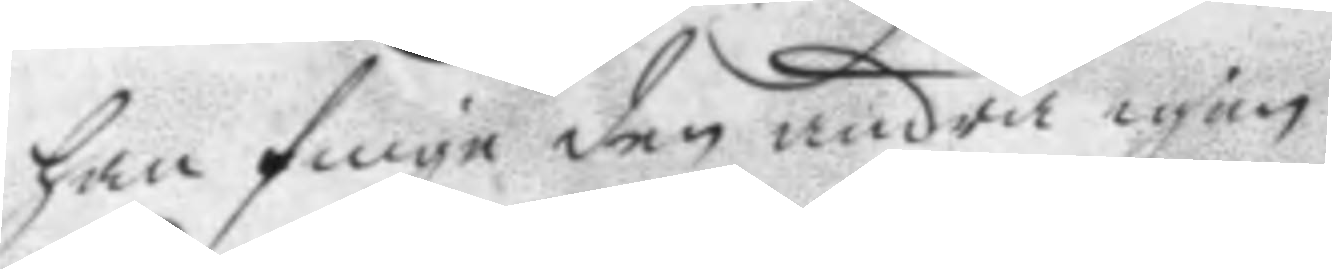han finge den andra igen.
